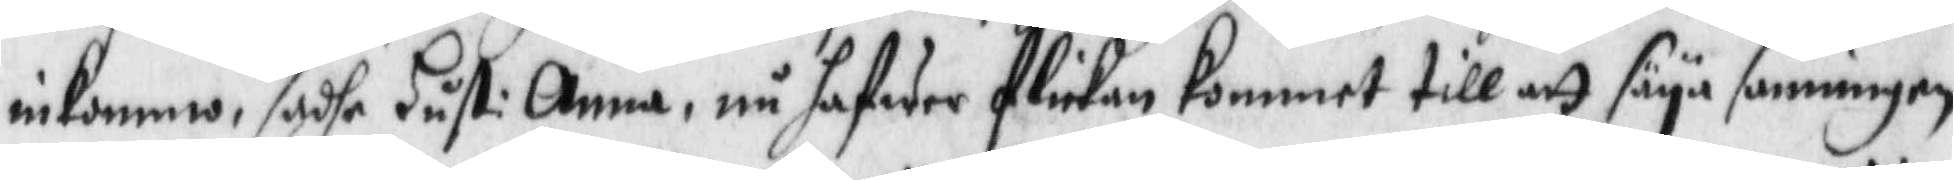inkommo, sadhe Hust: Anna, nu hafwer flickan Kommet till att säya sanningen
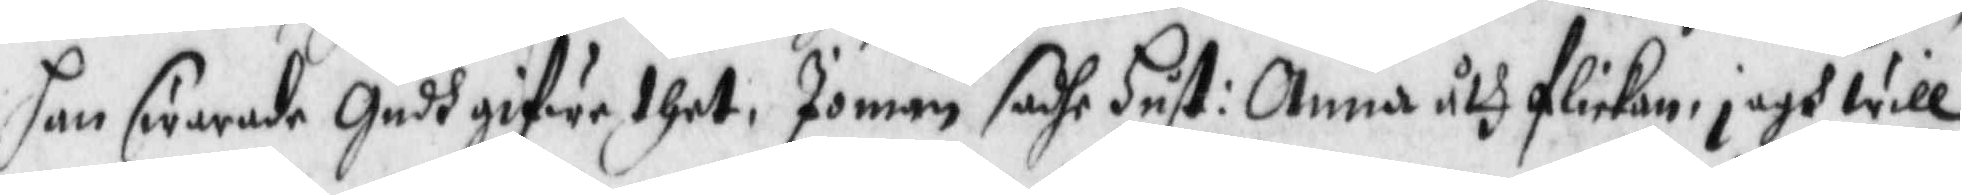han swarade Gudh gifwe thet, Jomän sadhe Hust: Anna åth flickan, jagh will
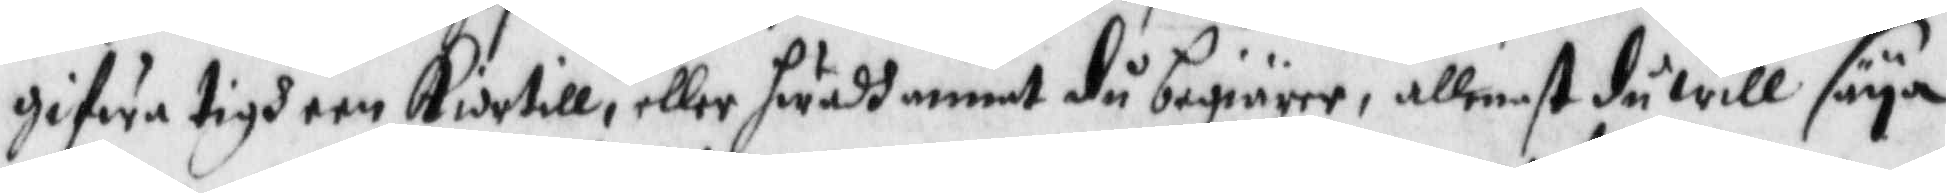gifwa tigh een Kiortell, eller hwadh annat du begiärer, allenast du will säya
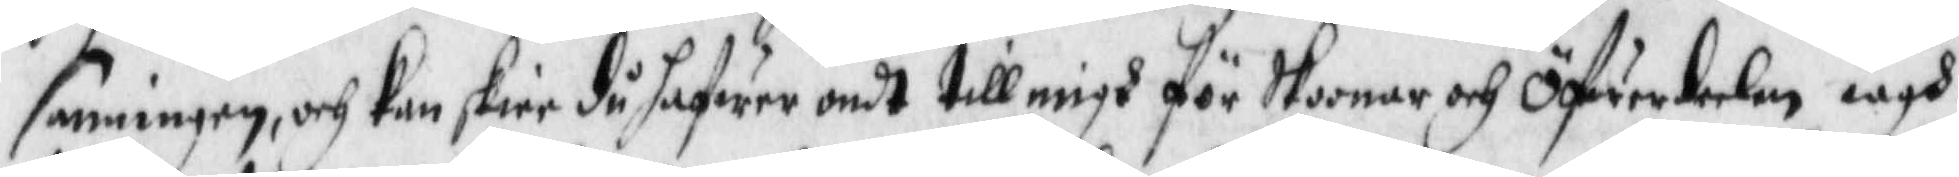sanningen, och Kan skiee du hafwer ondt till migh för Skornar ch öfwerdeelen iagh
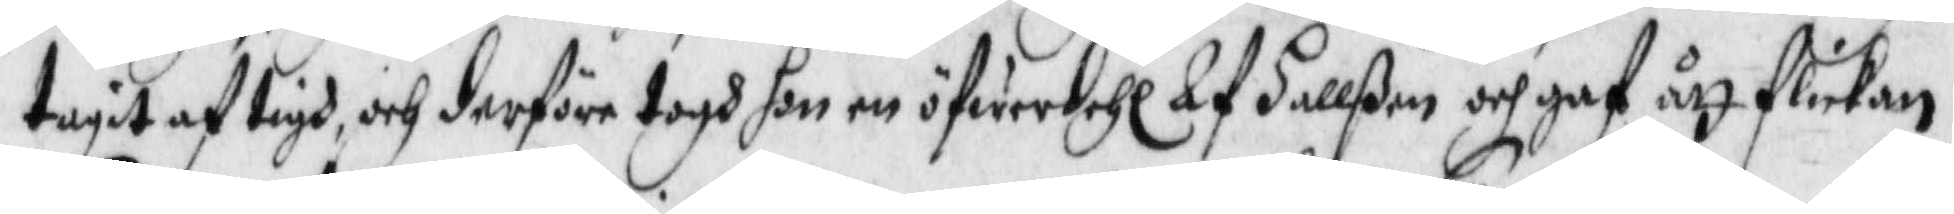tagit af tigh, ch derföre togh hon en öfwerdehl Af hallßen och gaf ått flickan,
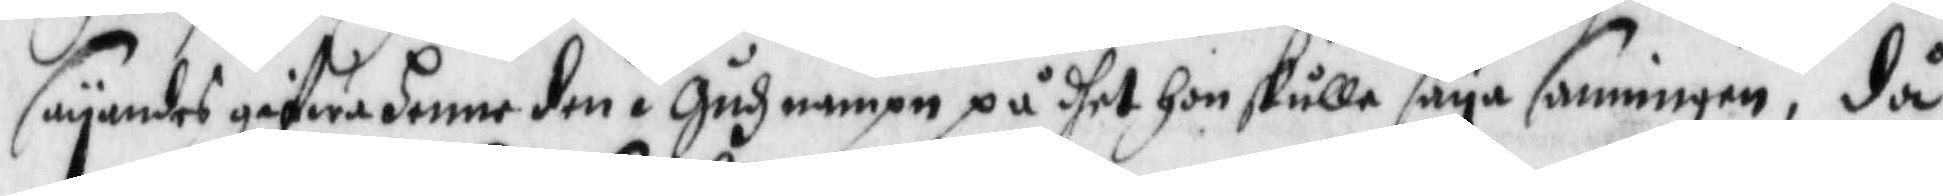säyandes gifwa henne den i Gudz nampn på dhet hon skulle säya sanningen, då
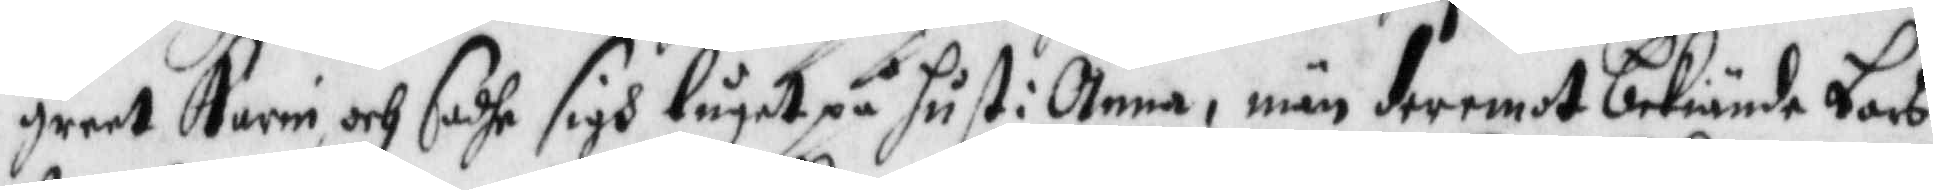greet Karin och sadhe sigh luget på hust: Anna, män deremot bekiände Lars
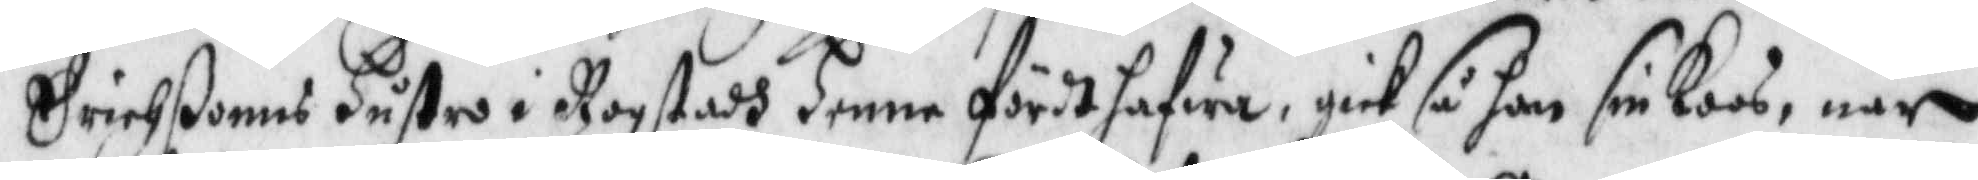erichßonns Hustru i Rogstadh henne fördt hafwa, gick så han sin Koos, när
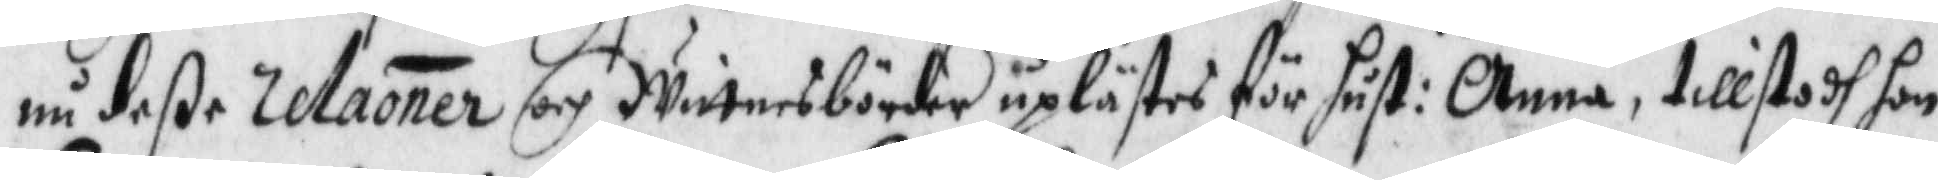nu deße relaoner och Wittnesbörder uplästes för hust: Anna, tillstodh hon
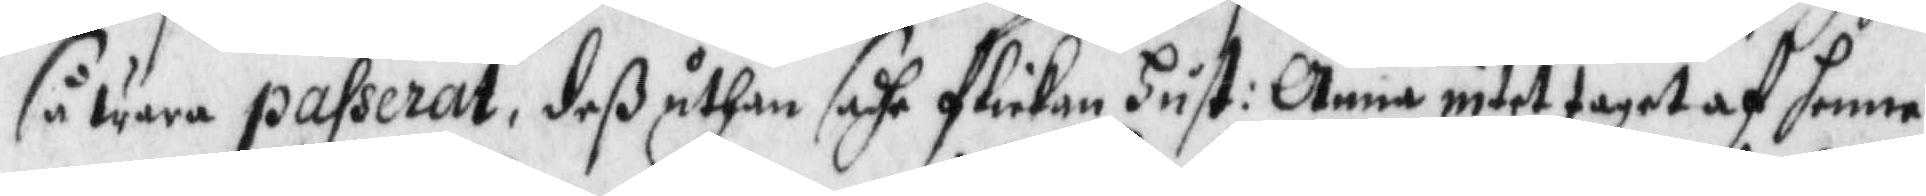så wara passerat, deß uthan sadhe flickan Hust: Anna intet taget af henne
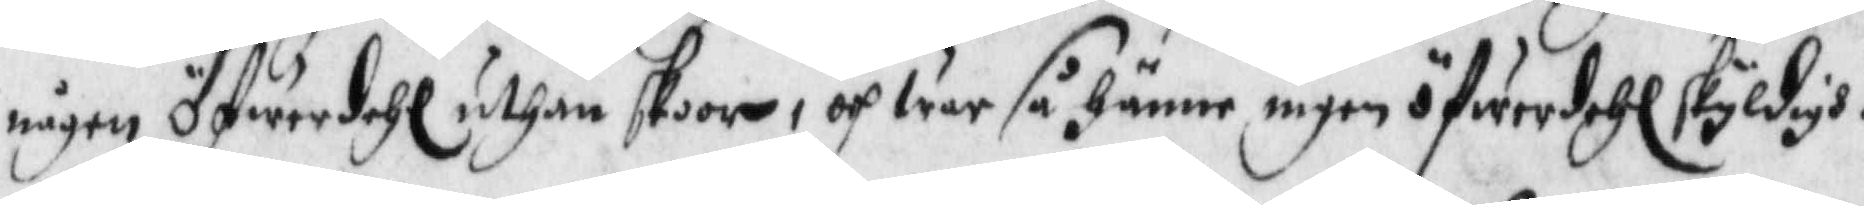någon öfwerdehl, uthan skoor, och war så hänne ingen öfwerdehl skyldigh.
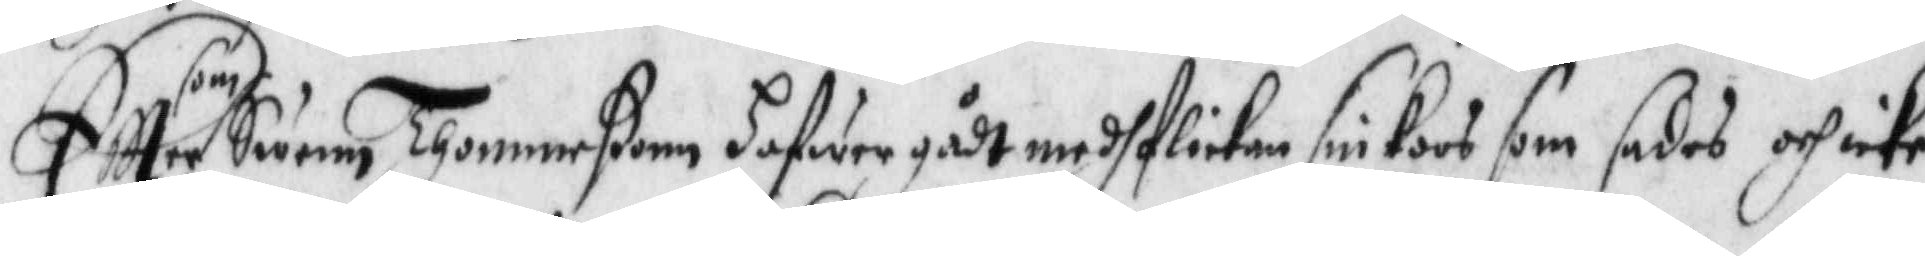Eftter som Swenn Thommeßonn hafwer gådt medh flickan sin Koos som sades och icke
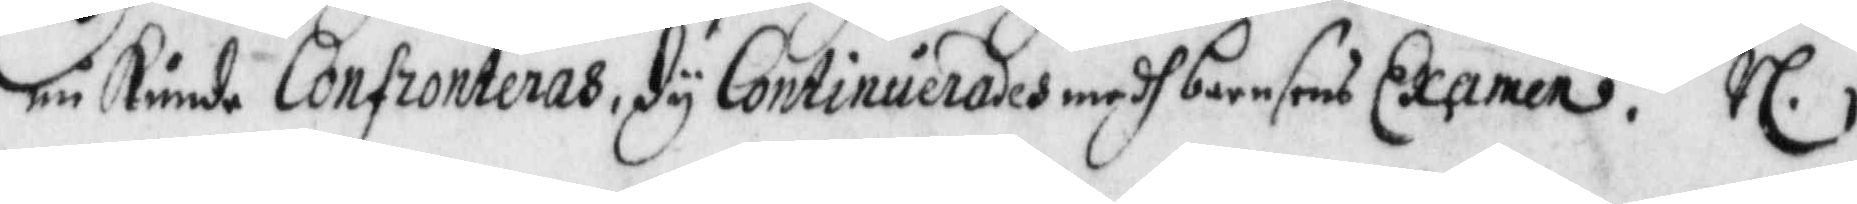nu Kunde Confronteras, dy Continuerades medh barnsens Examen. rl.
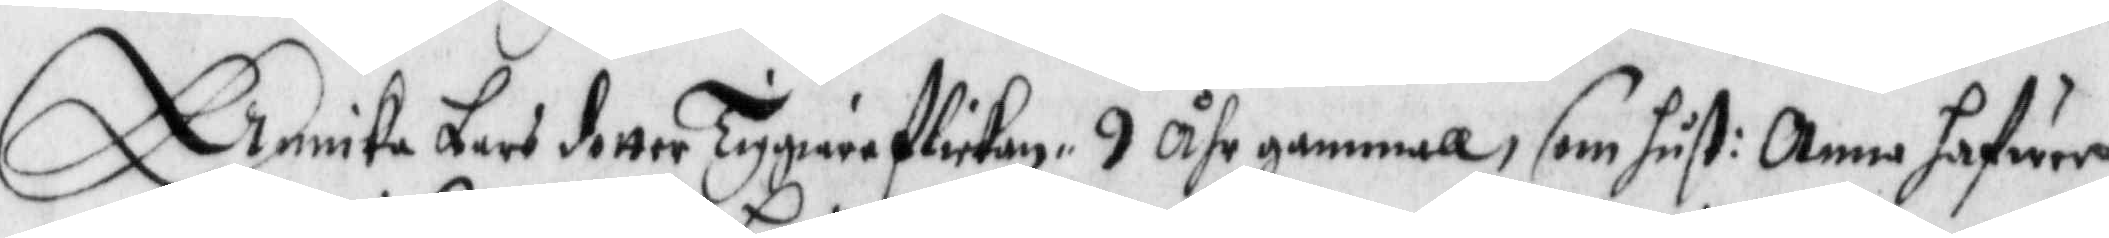Annika Lars dotter Tygiareflickan 9 Åhr gammal som hust: Anna hafwer
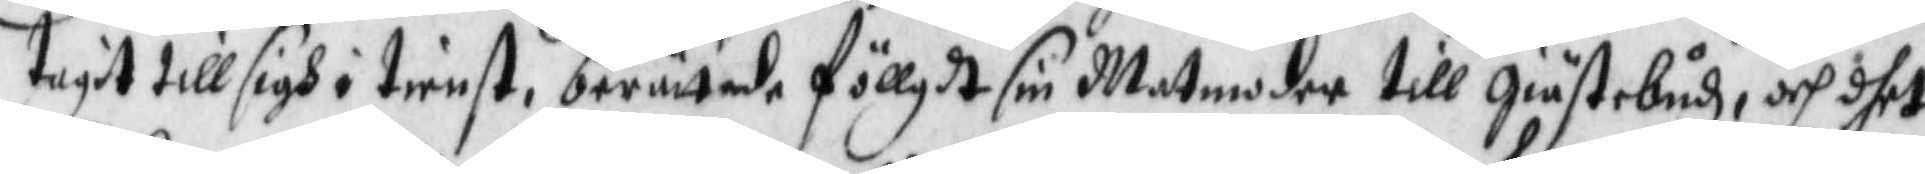tagit till sigh i tienst, berättade föllgdt sin Matmoder till giästebudh, och dhet
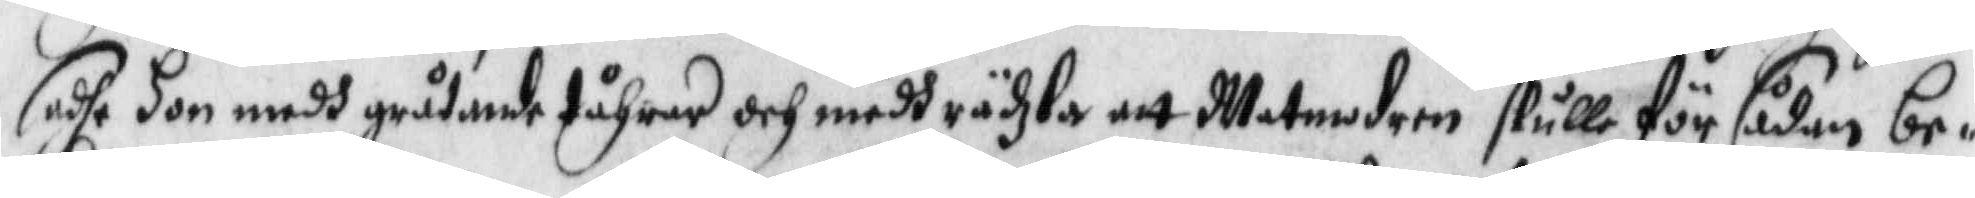sadhe hon medh gråtande tåhrar och medh rädzla att Matmodern skulle för sådan be¬
